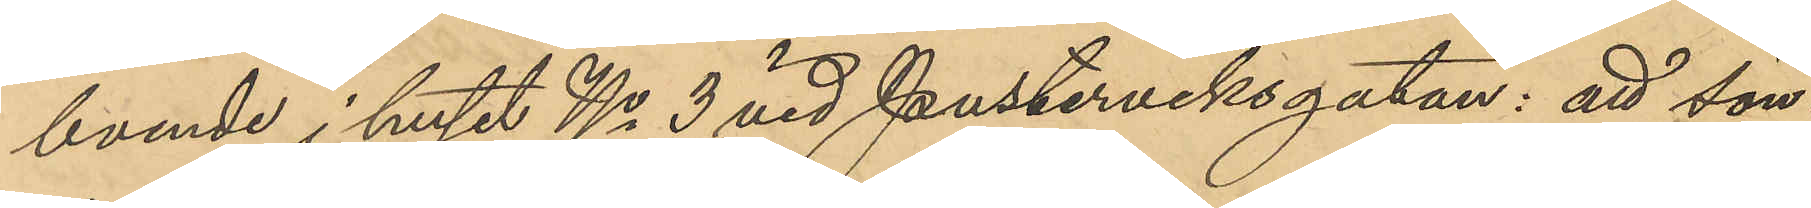boende i huset No 3 vid Pusterviksgatan: att sön¬
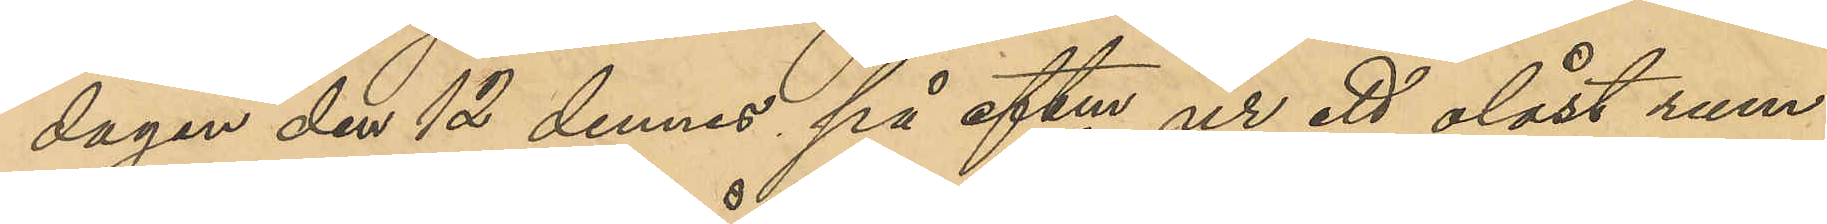dagen den 12 dennes på eftm ur ett olåst rum
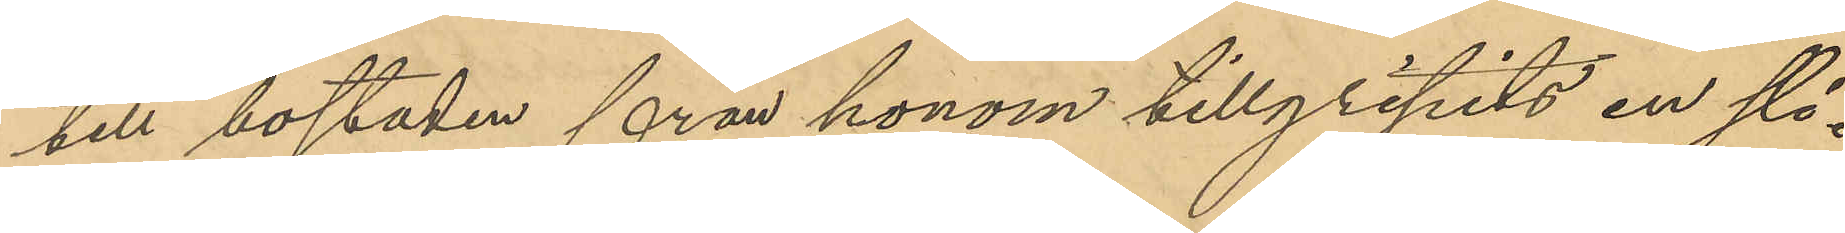till bostaden från honom tillgripits en sli¬
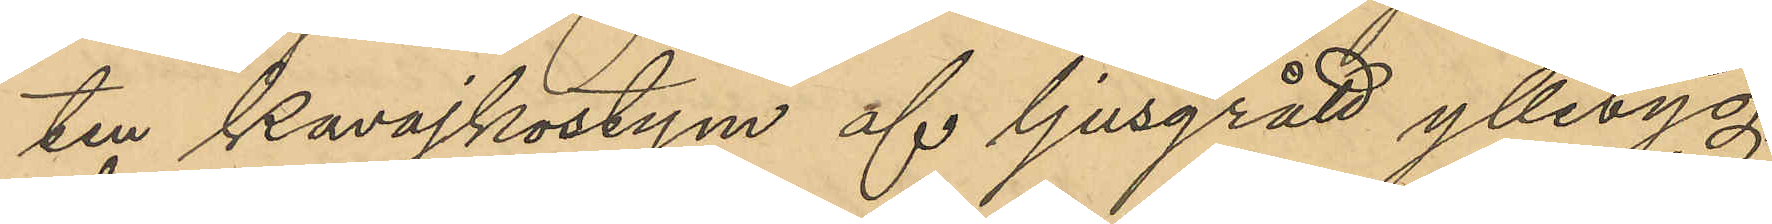ten kavajkostym af ljusgrått ylletyg,
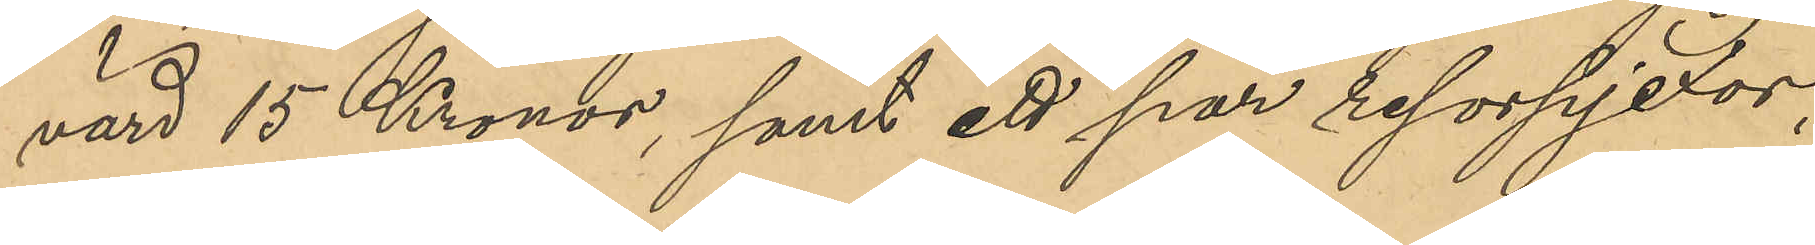värd 15 Kronor, samt ett par resorpjexor,
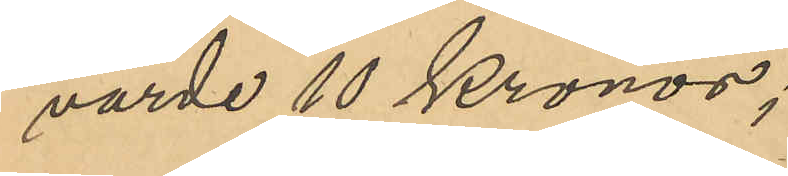värde 10 Kronor;
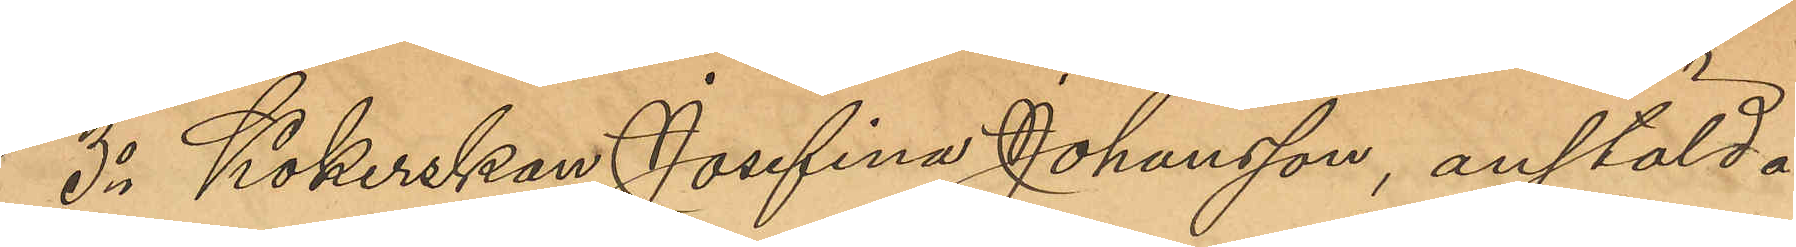3o Kokerskan Josefina Johansson, anstäld å
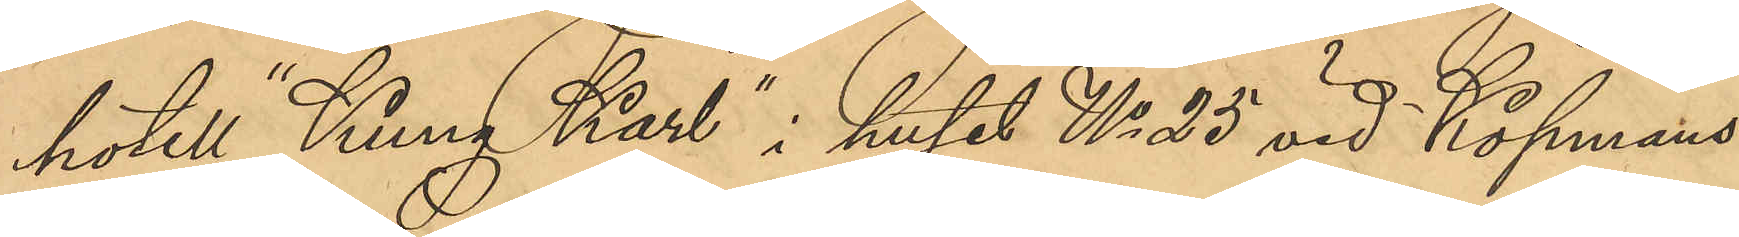hotell "Kung Karl" i huset No 25 vid Köpmans¬
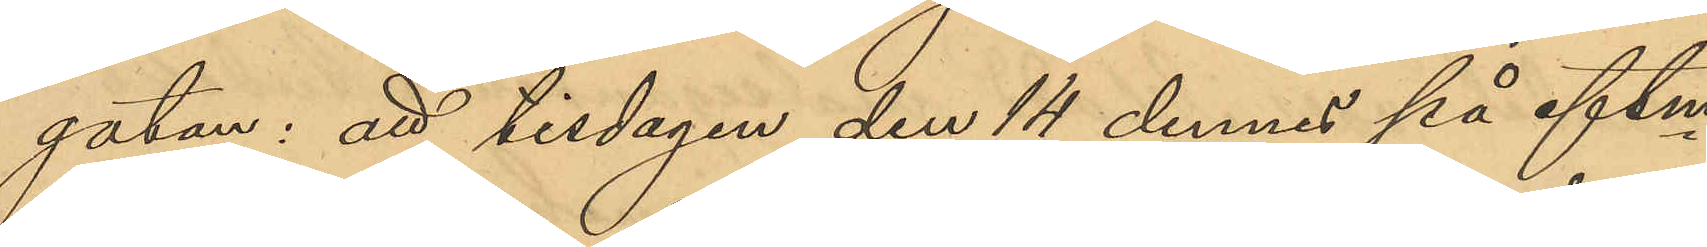gatan: att tisdagen den 14 dennes på eftm
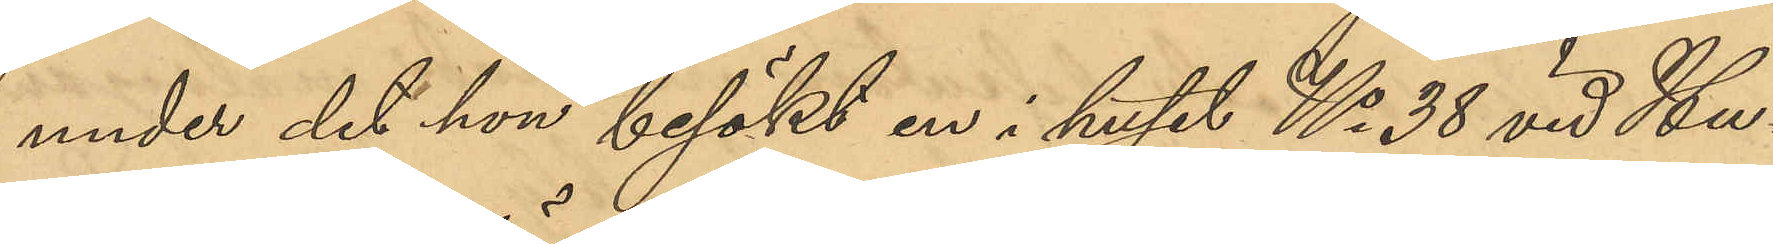under det hon besökt en i huset No 38 vid Hu¬
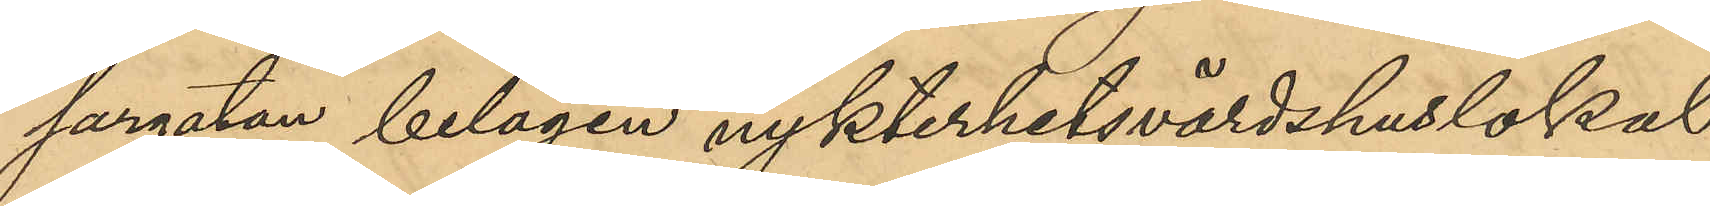sargatan belägen nykterhetsvärdshuslokal
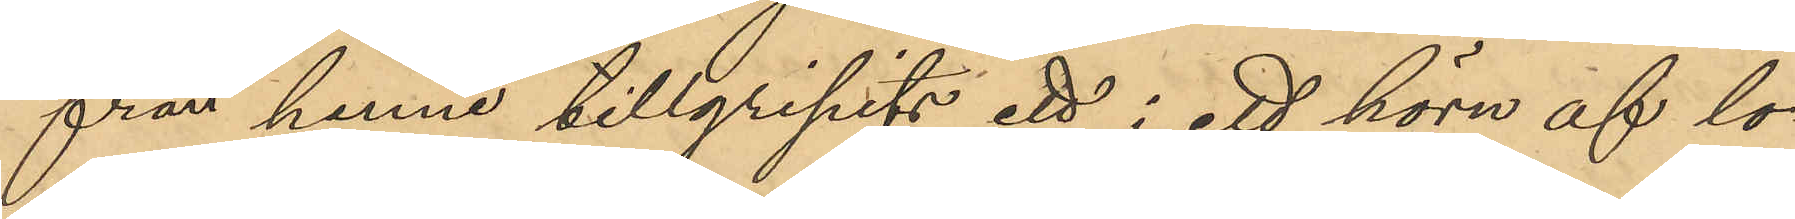från henne tillgripits ett i ett hörn af lo¬
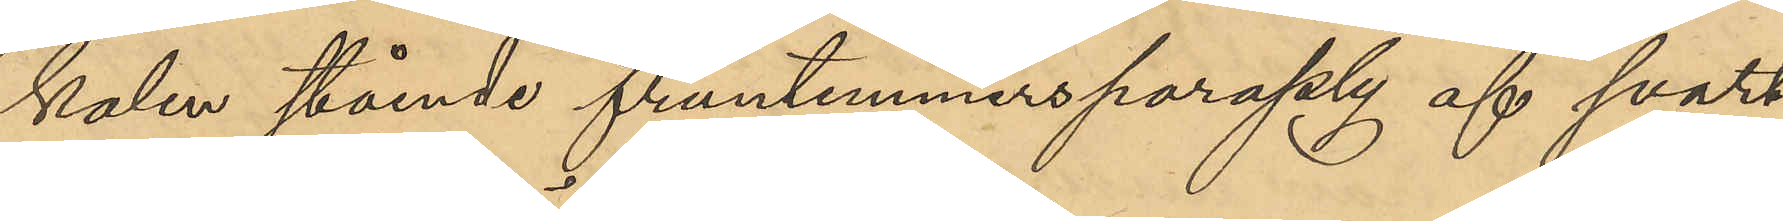kalen stående fruntimmersparaply af svart
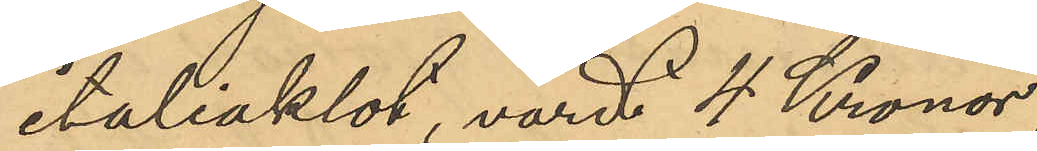italiaklot, värd 4 Kronor,
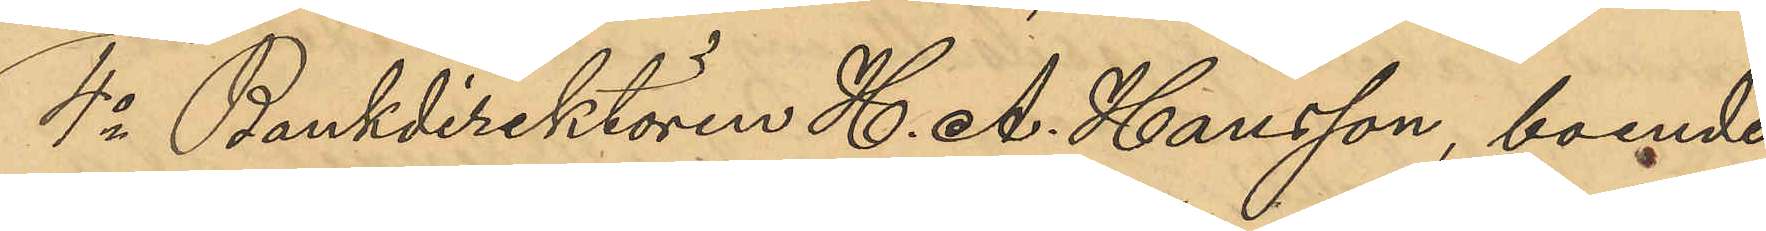4o Bankdirektören H. A. Hansson, boende
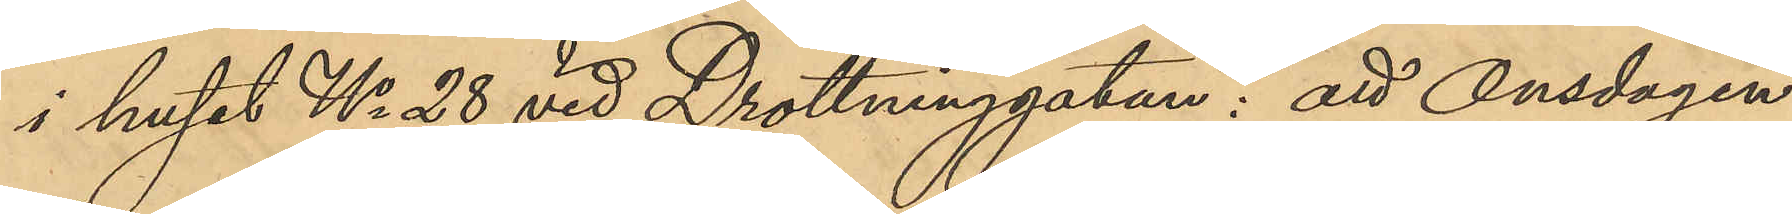i huset No 28 vid Drottninggatan: att Onsdagen
